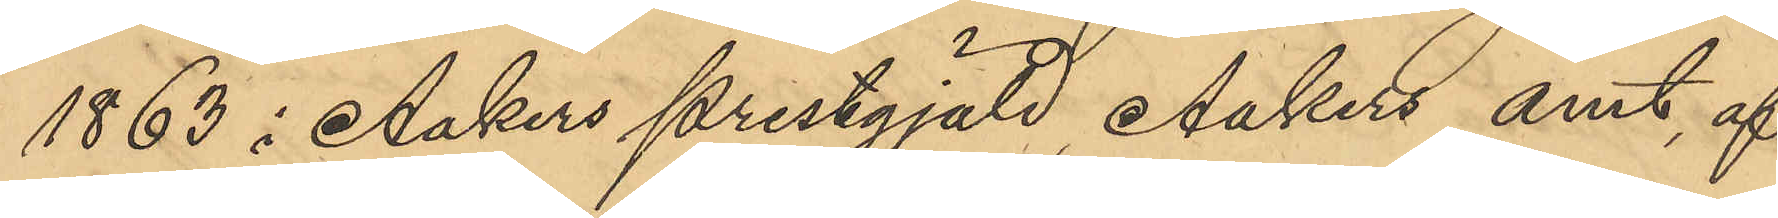1863 i Aakers prestgjäld, Aakers amt af
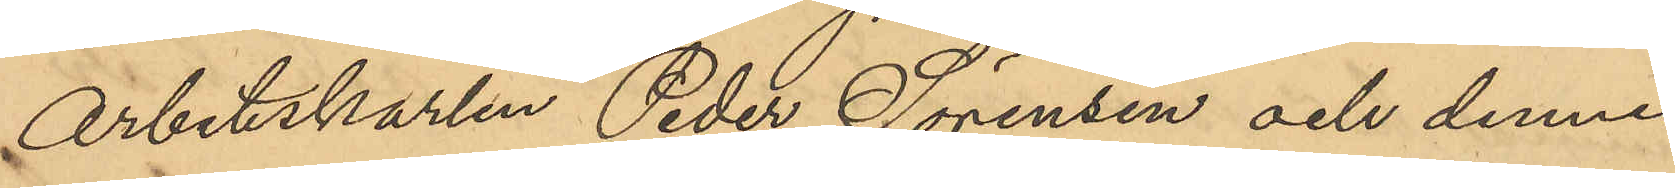Arbetskarlen Peder Sörensen och dennes
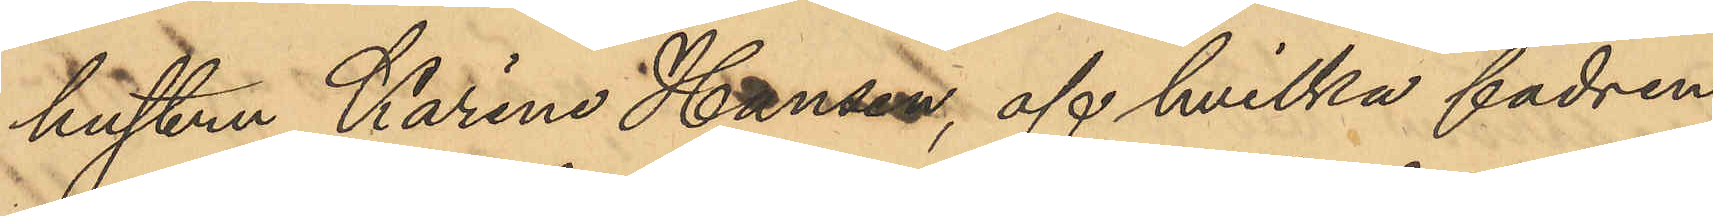hustru Karine Hansen, af hvilka fadren
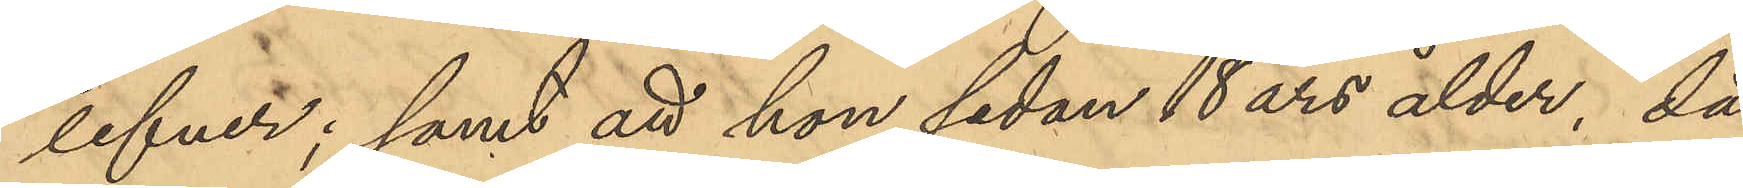lefver; samt att hon sedan 18 års ålder, då
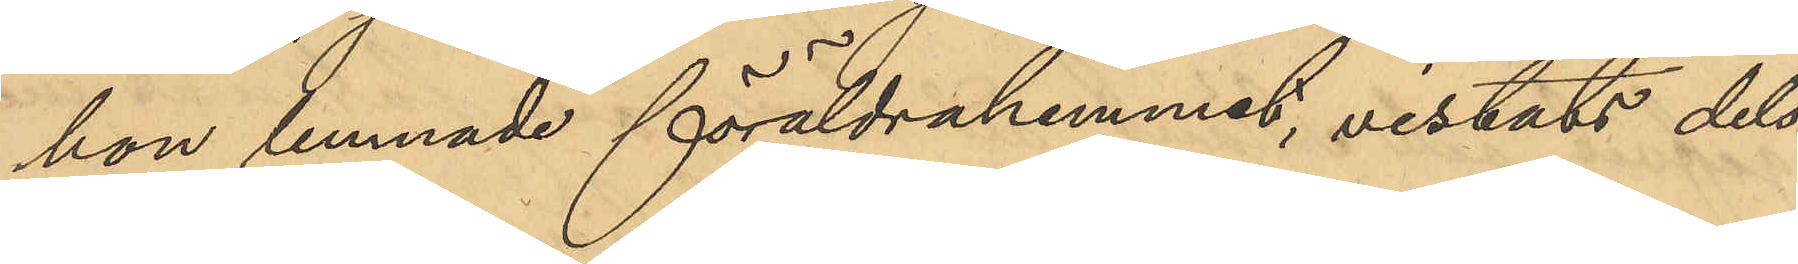hon lemnade föräldrahemmet, vistats dels 
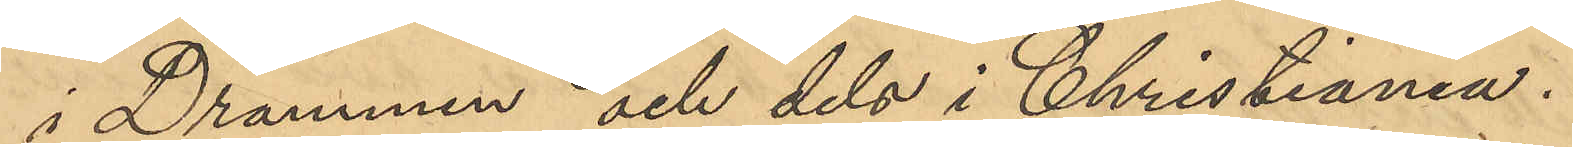i Drammen och dels i Christiania.
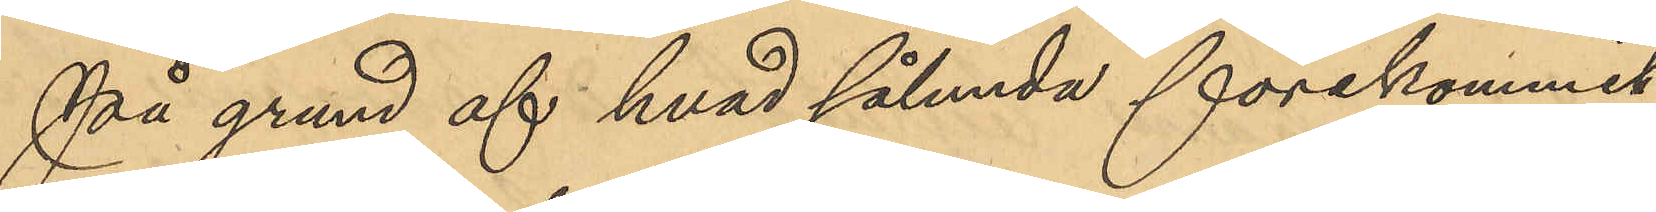På grund af hvad sålunda förekommit
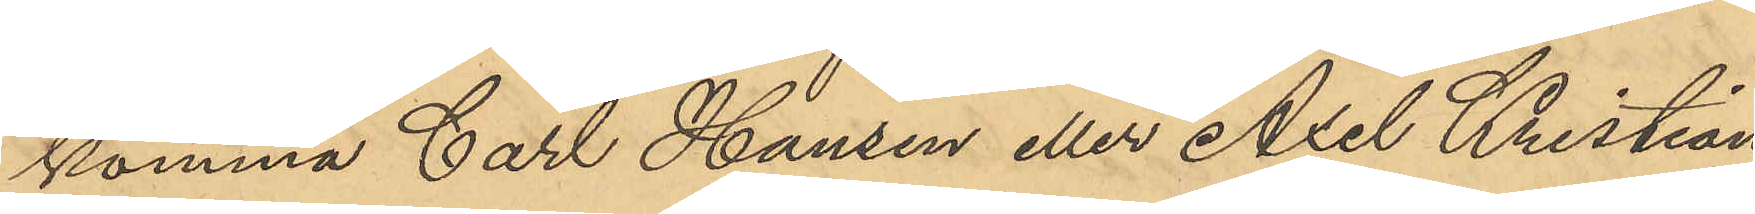komma Carl Hansen eller Axel Christian¬
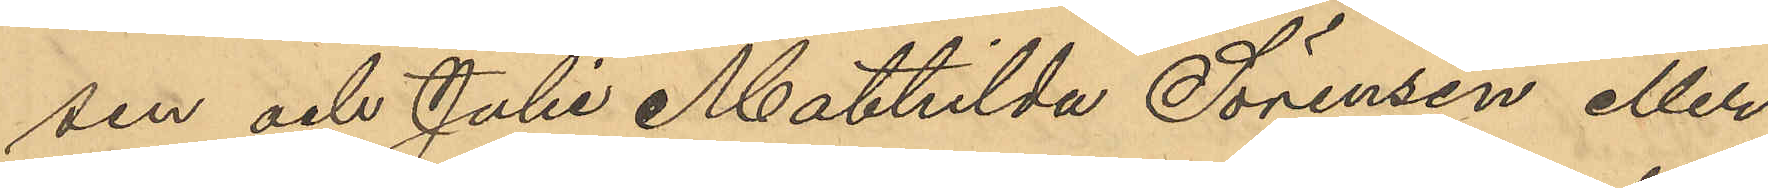sen och Julie Mathilda Sörensen eller
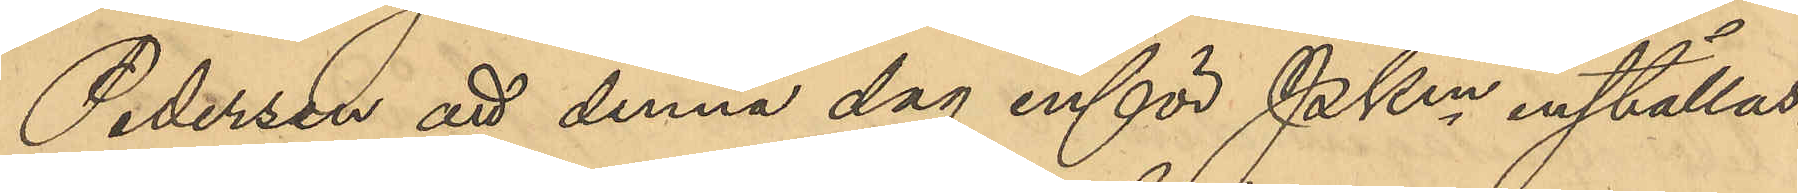Pedersen att denna dag inför PKmn inställas.
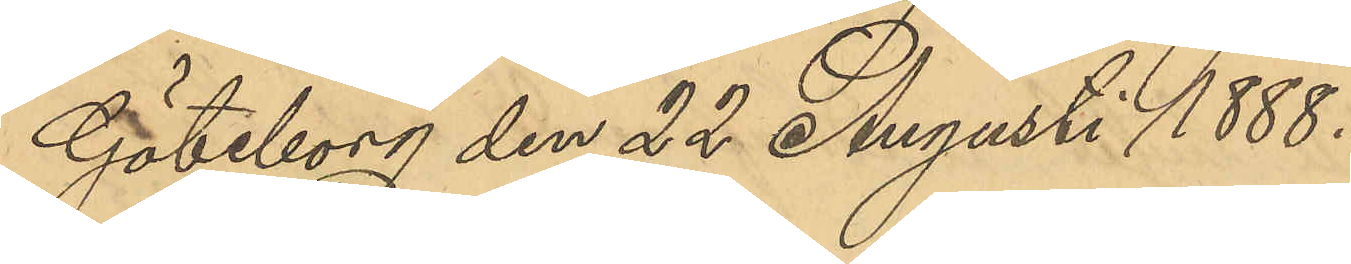Göteborg den 22 Augusti 1888.
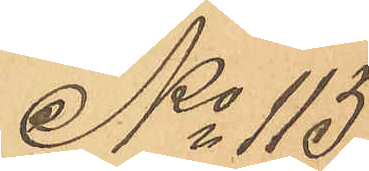No 115
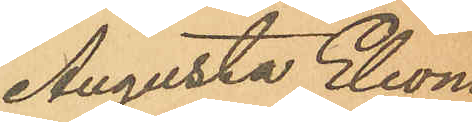Augusta Eleono¬
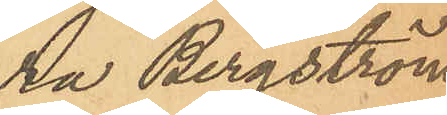ra Bergstöm
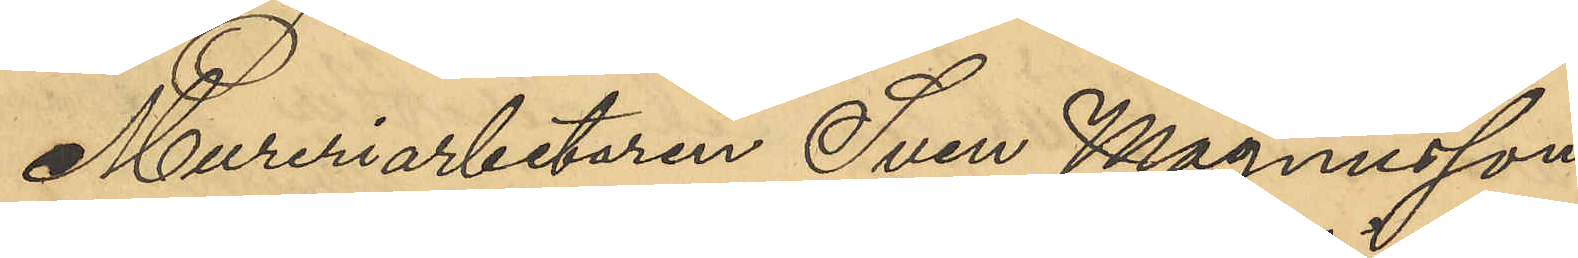Mureriarbetaren Sven Magnusson,
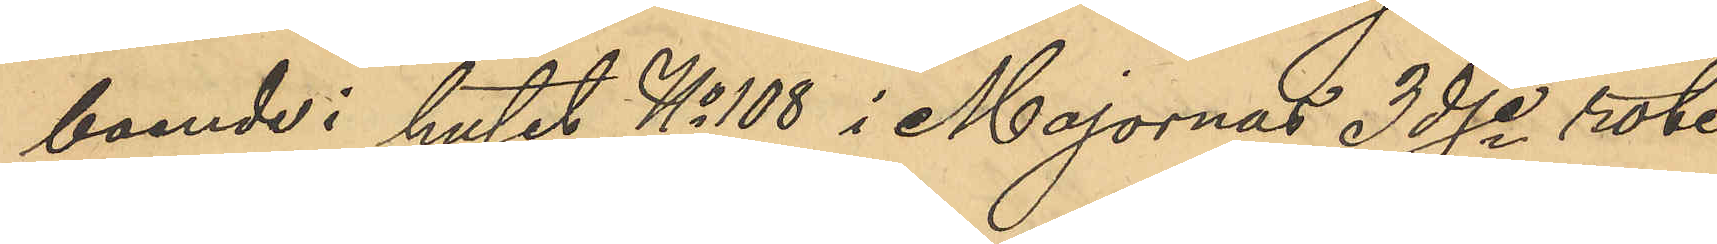boende i huset No 108 i Majorna 3dje rote,
